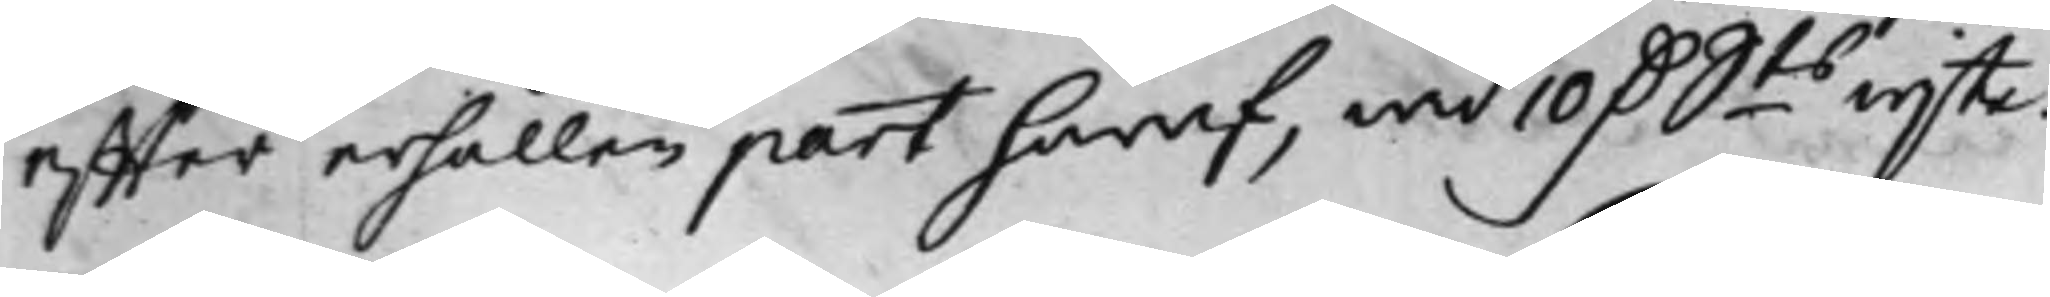effter erhållen part häraf, wid 10 D. Sts wijte.
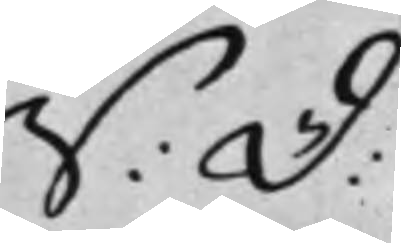S: D:
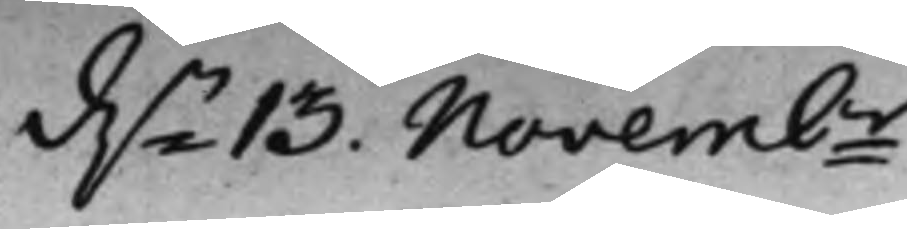d.n 13 Novembr
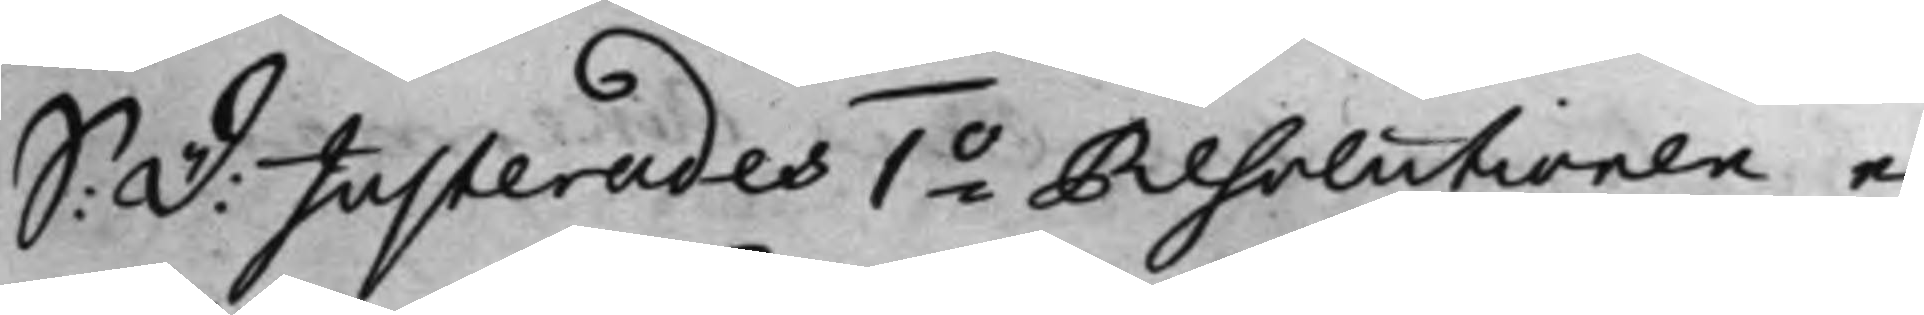S: D: Justerades 1o Resolutionen e¬
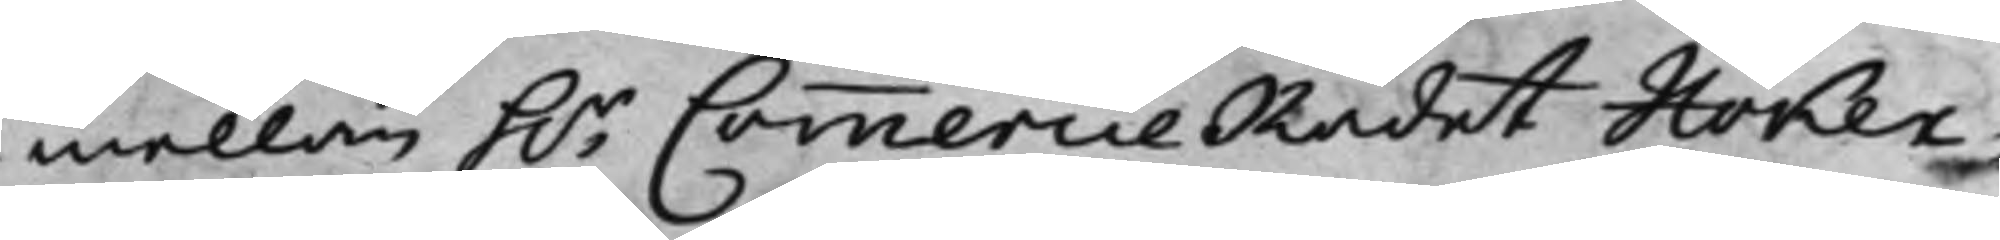mellan h.r CommercieRådet Höker¬
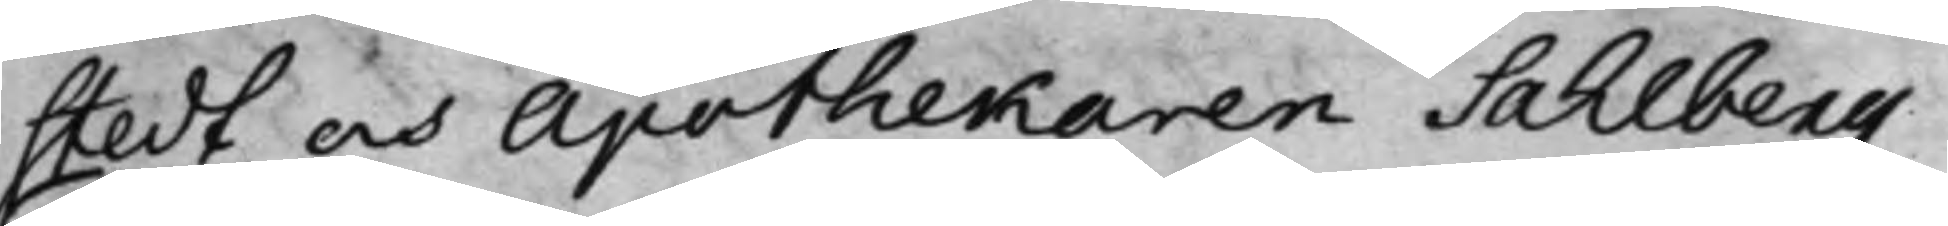stedt och Apothekaren Sahlberg.
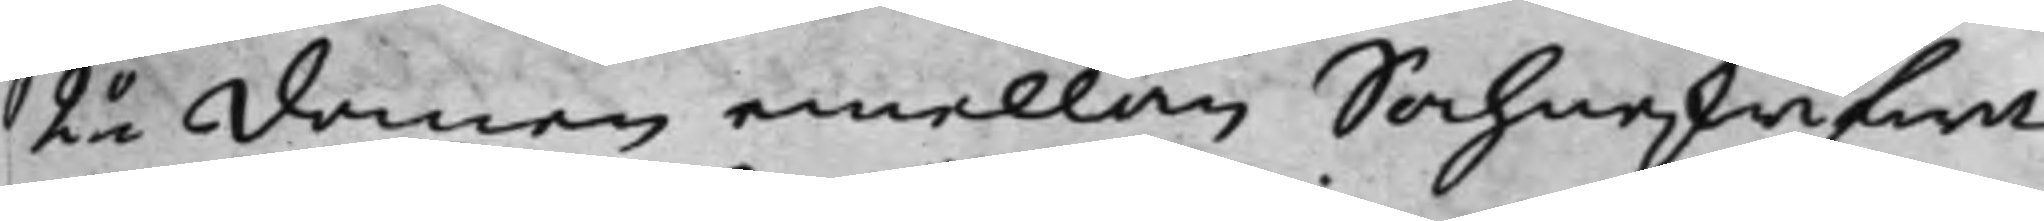2o domen emellan Sochneskrifwa¬
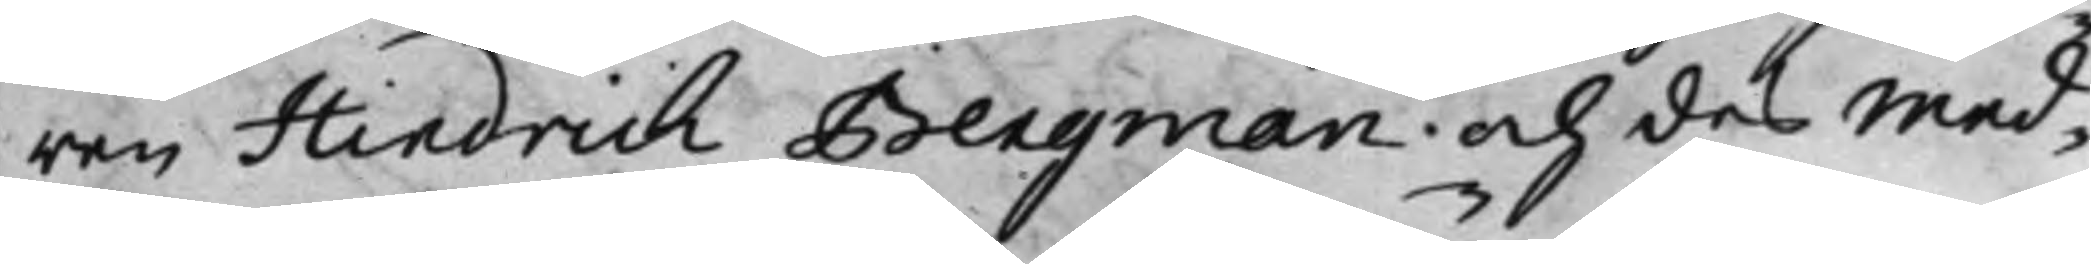ren Hindrich Bergman och des med¬
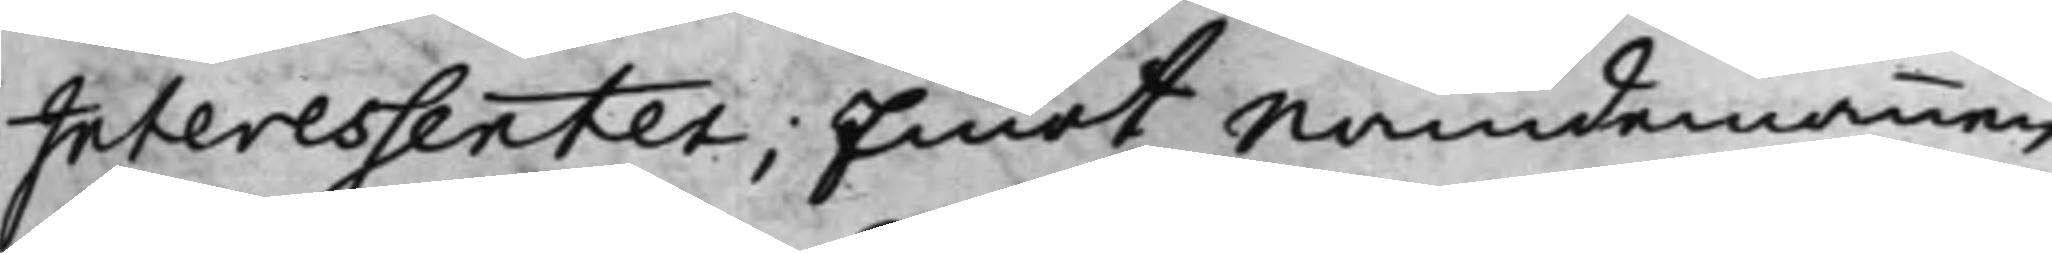Interessenter; Emot Nämdemannen
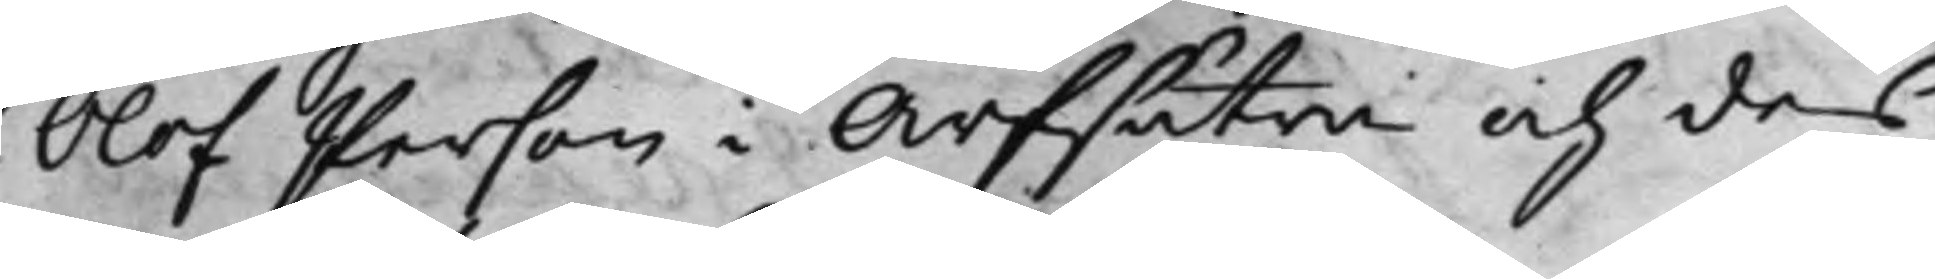Olof Person i Arfsätra och des
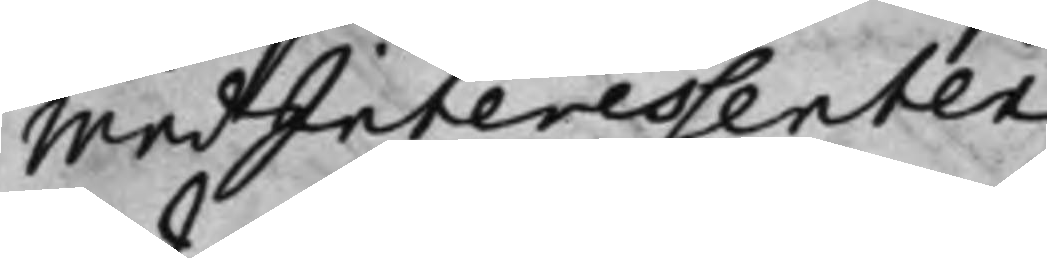medInteressenter.
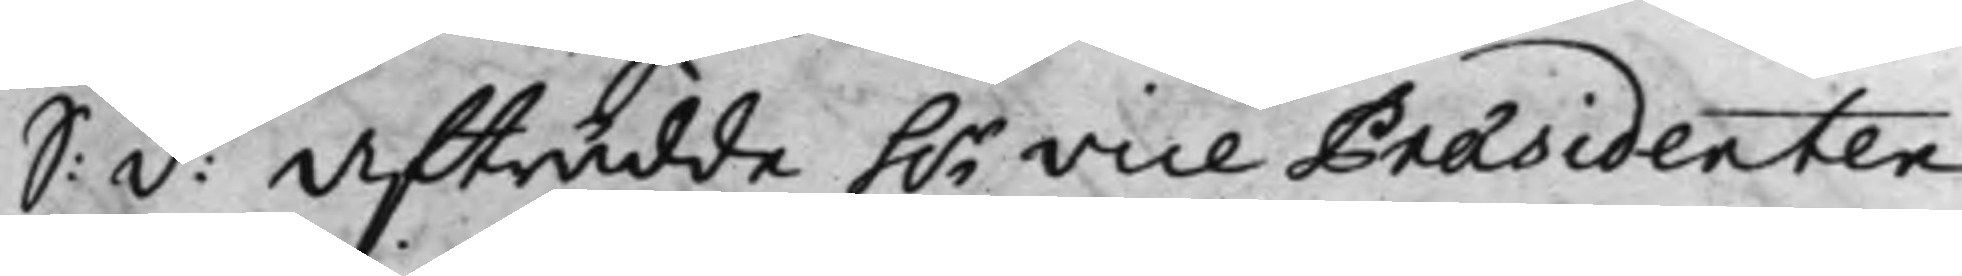S: D: Afträdde h.r Vice Præsidenten
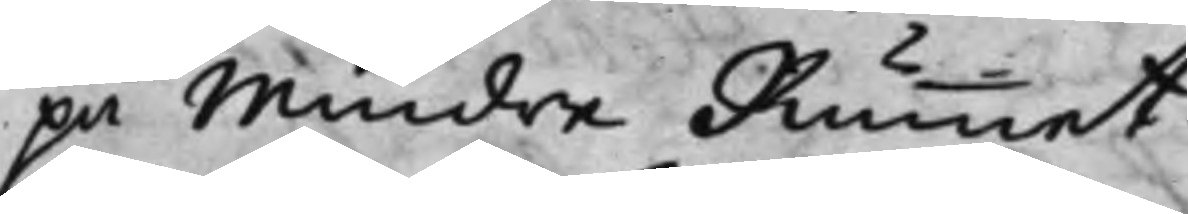på Mindre Rummet.
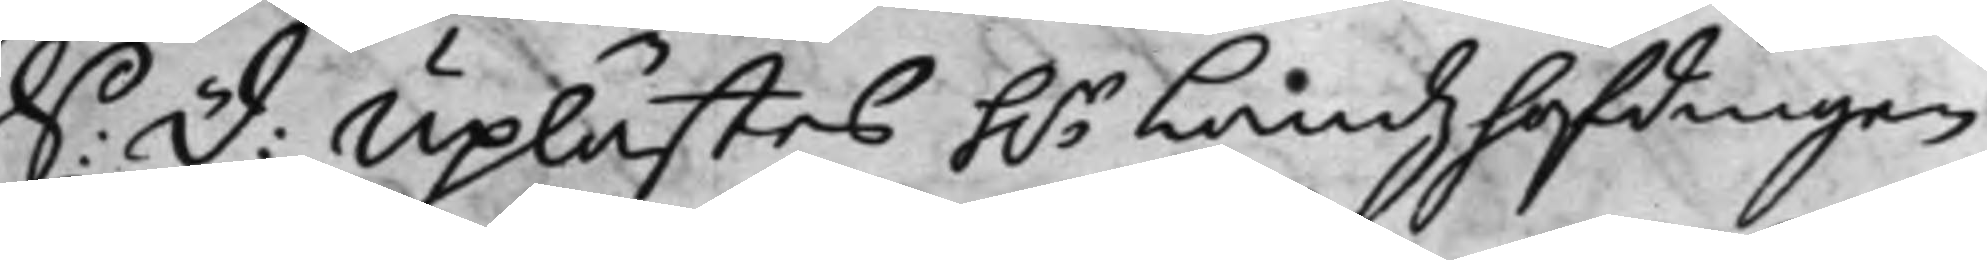S: D: Uplästes h.r Landzhöfdingen
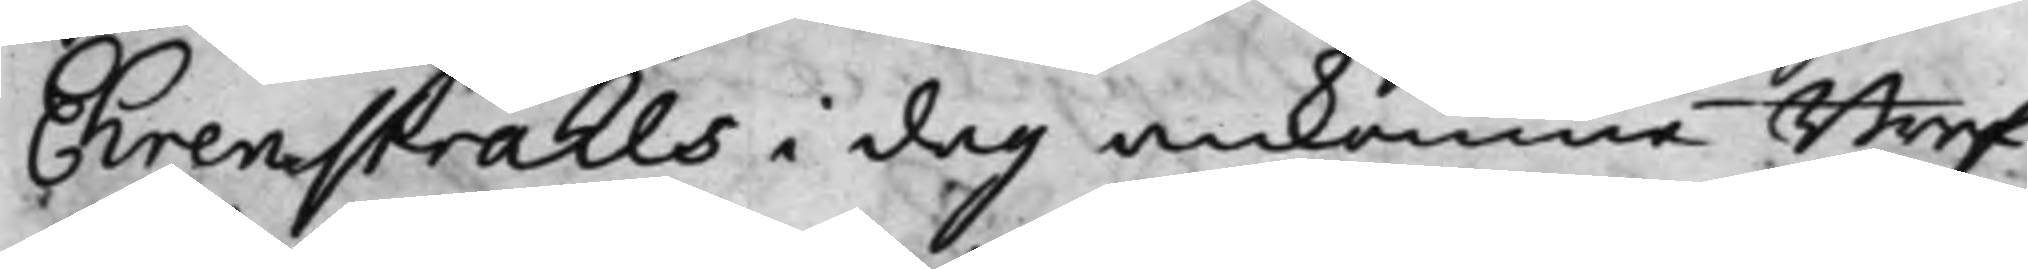Ehrenstrahls i dag ankomne Bref
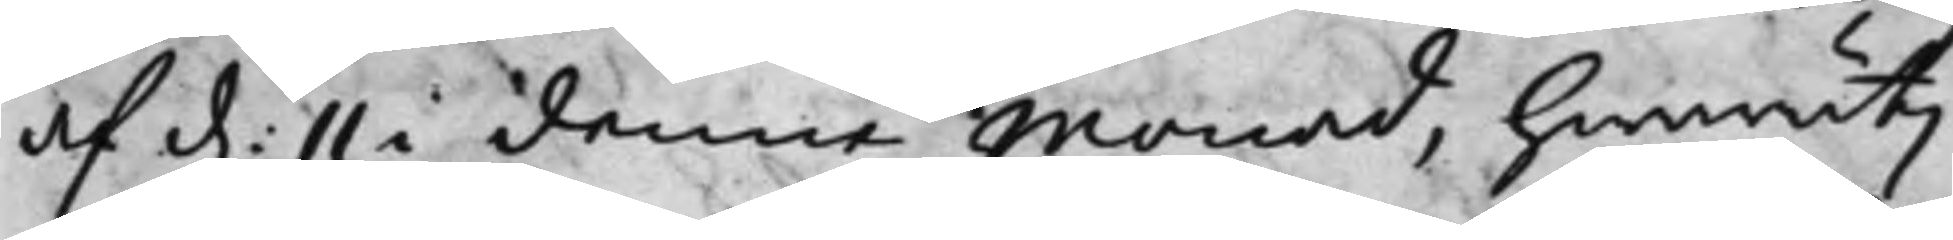af d: 11 i denna monad, hwaruti
